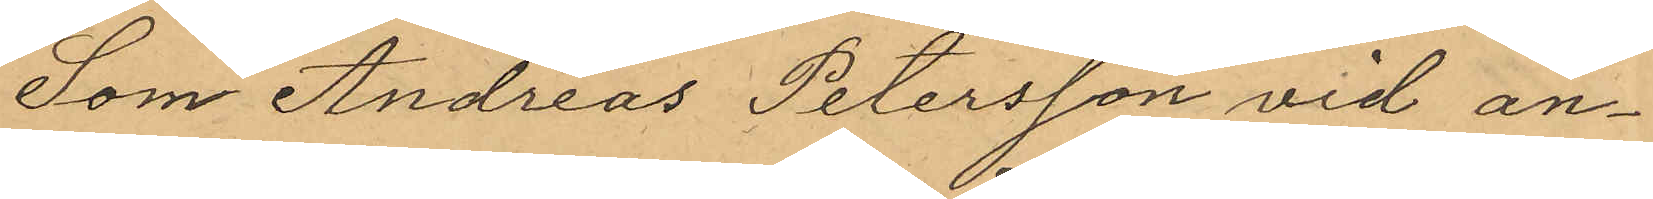Som Andreas Petersson vid an¬
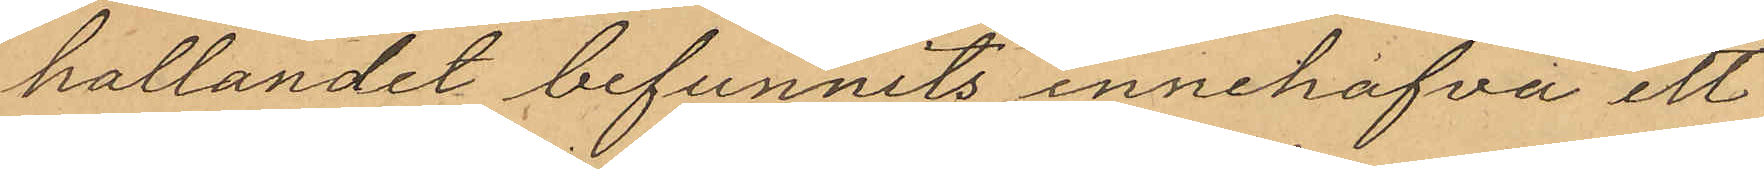hållandet befunnits innehafva ett
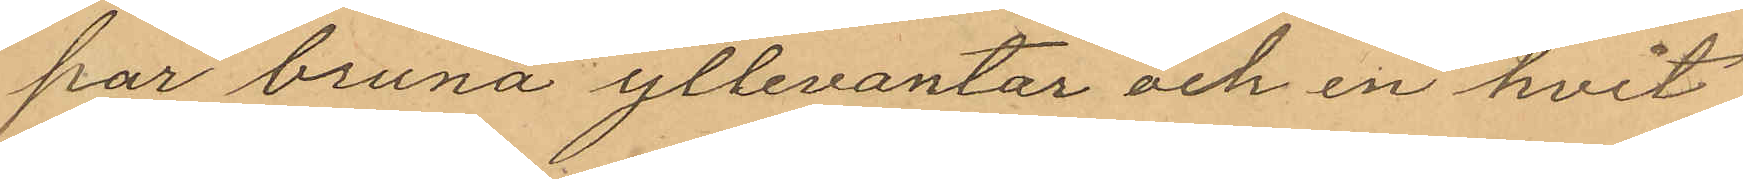par bruna yllevantar och en hvit
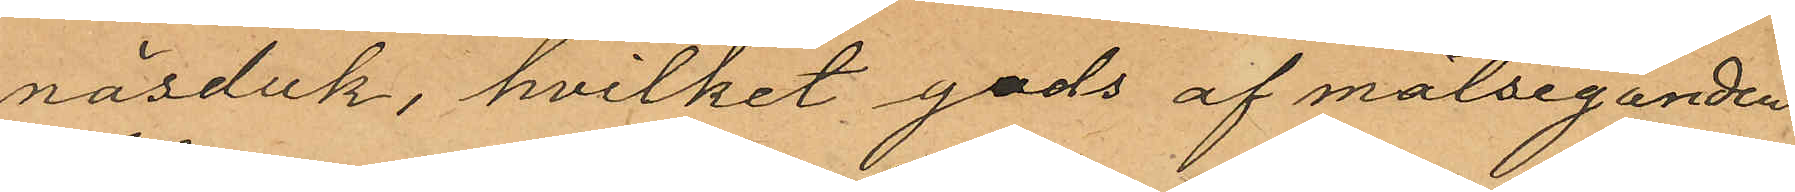näsduk, hvilket gods af målseganden
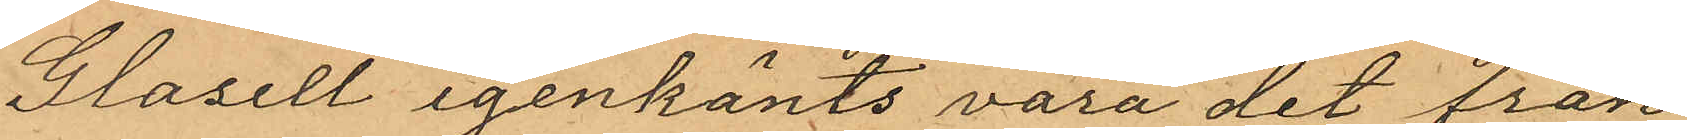Glasell igenkänts vara det från
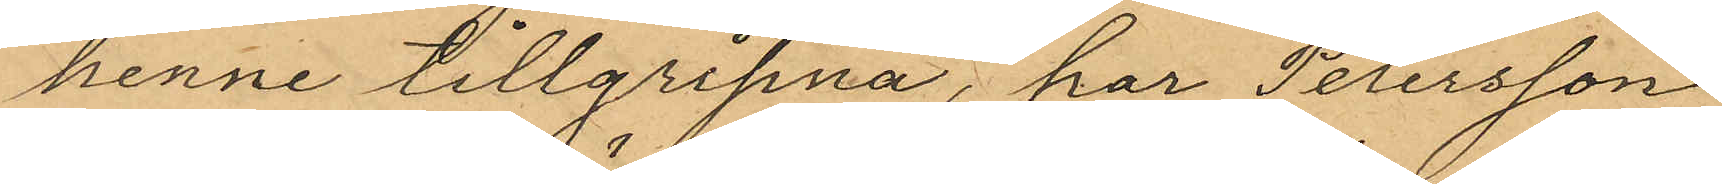henne tillgripna, har Petersson
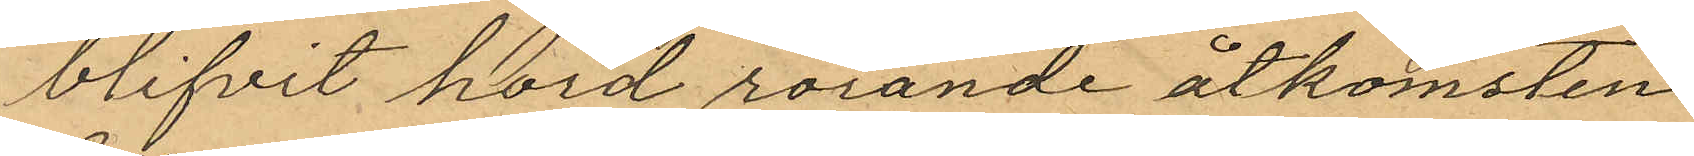blifvit hörd rörande åtkomsten
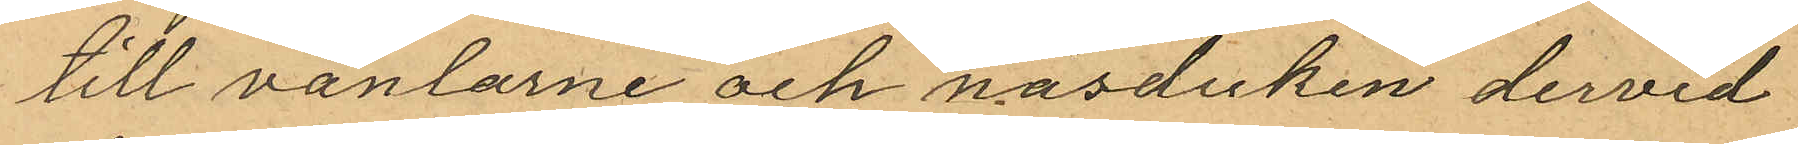till vantarne och näsduken dervid
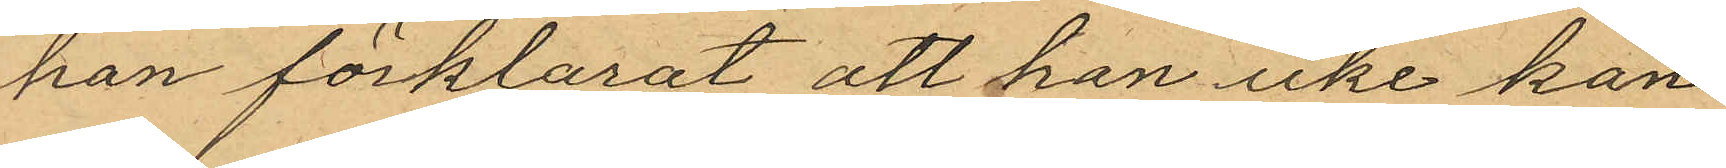han förklarat att han icke kan
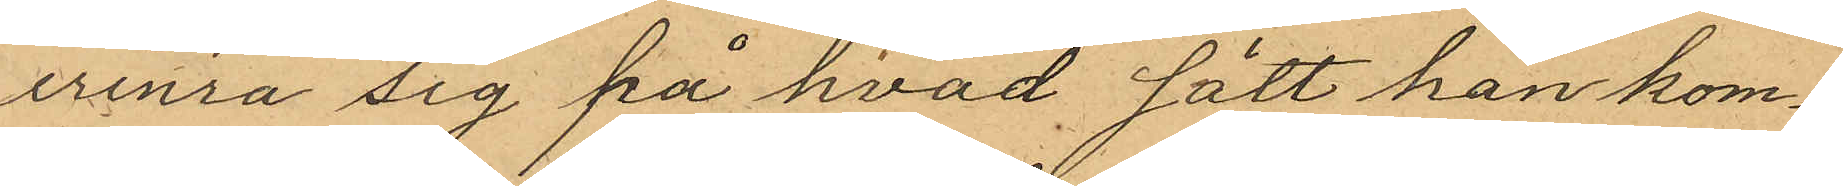erinra sig på hvad, sätt han kom¬
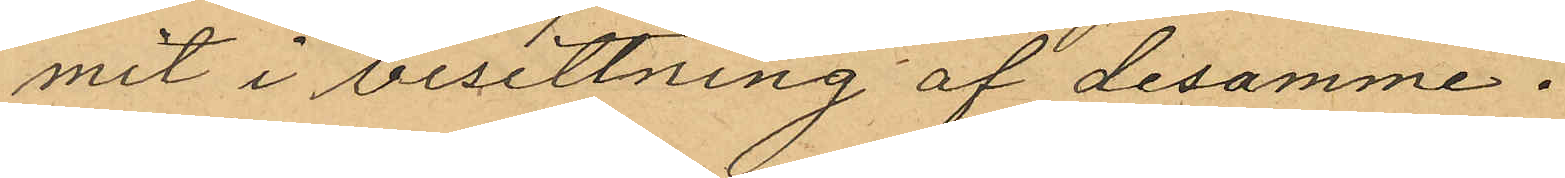mit i besittning af desamme.
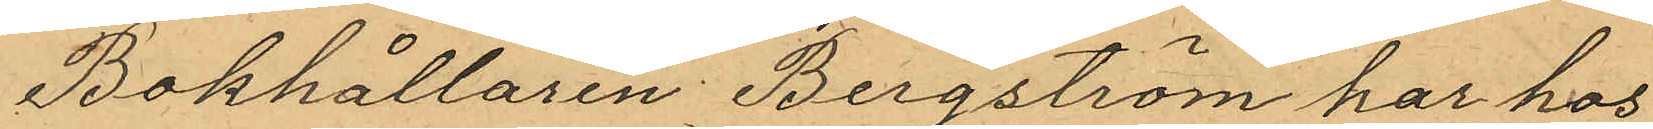Bokhållaren Bergström har hos
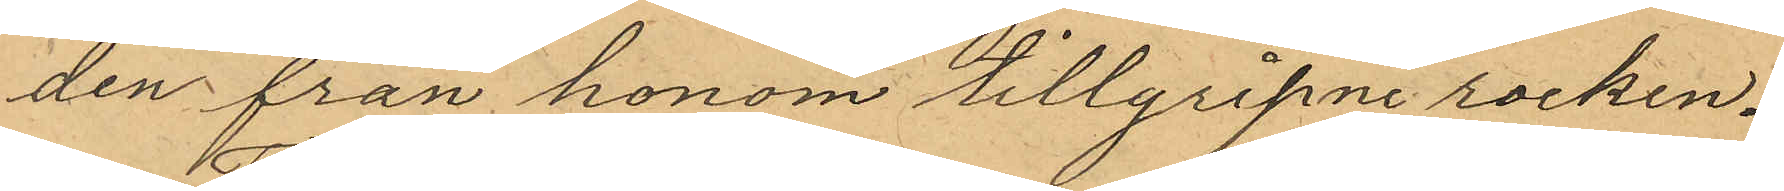den från honom tillgripne rocken.
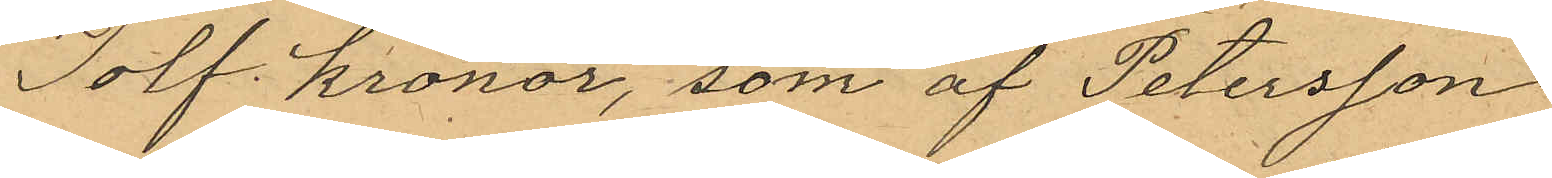Tolf Kronor, som af Petersson
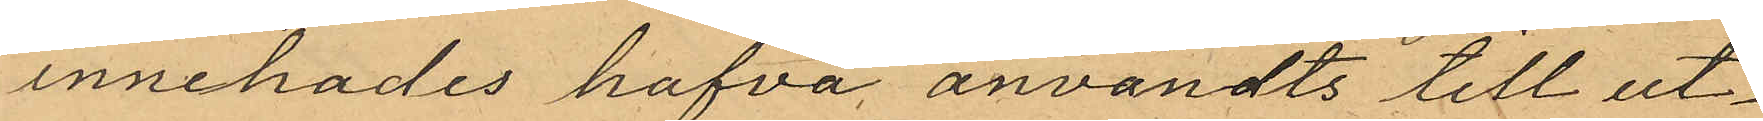innehades hafva användts till ut¬
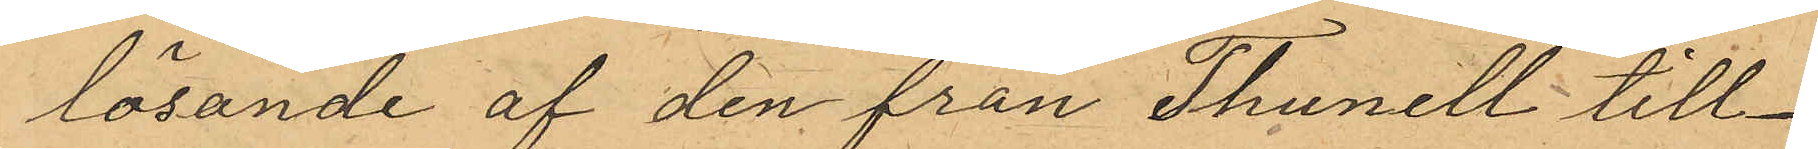lösande af den från Thunell till¬
